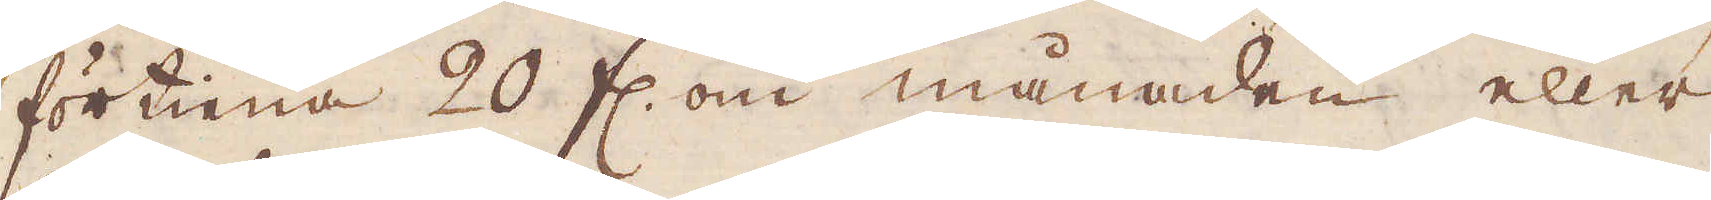förtiena 20 fl. om månaden eller
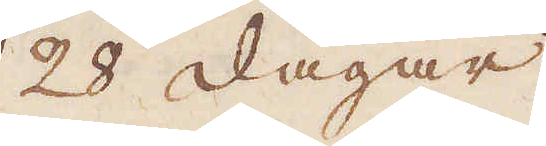28 dagar.
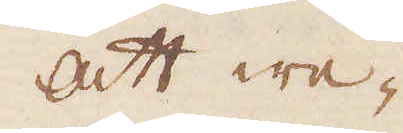att we-
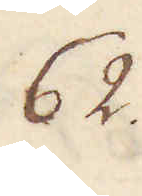62.
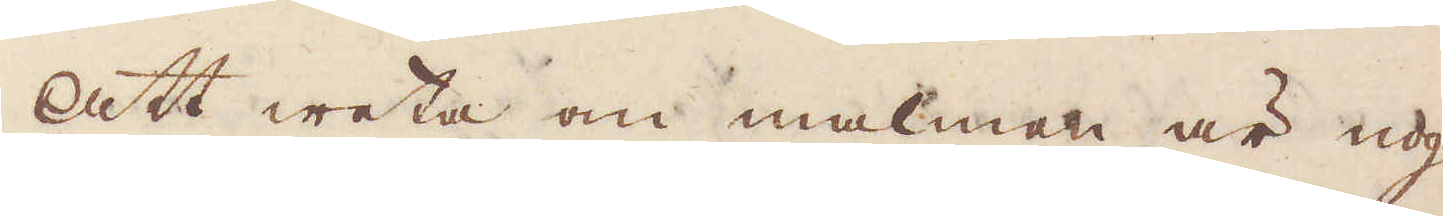att weta om malmen är nog
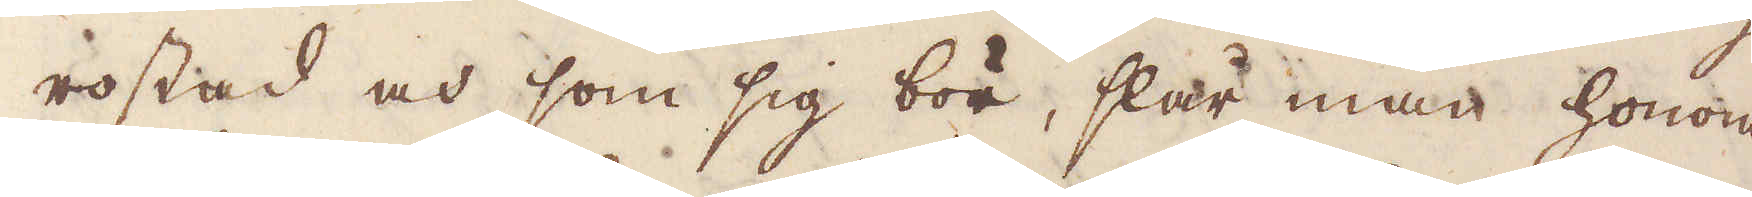rostad och som sig bör, slår man honom
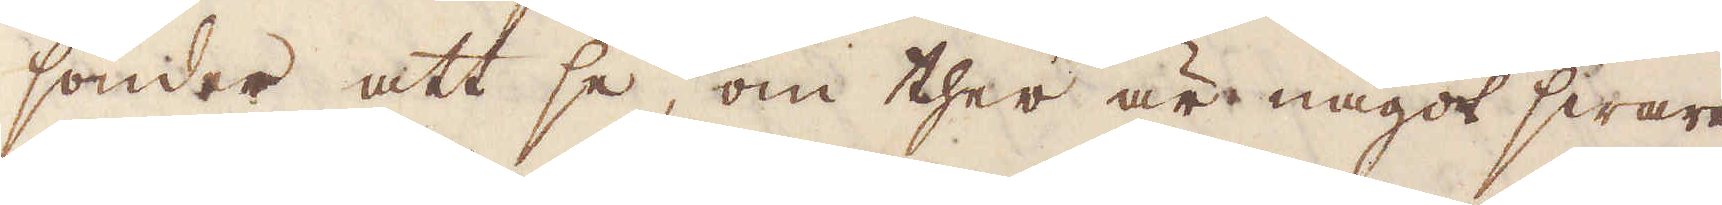sönder att se om ther är något swart
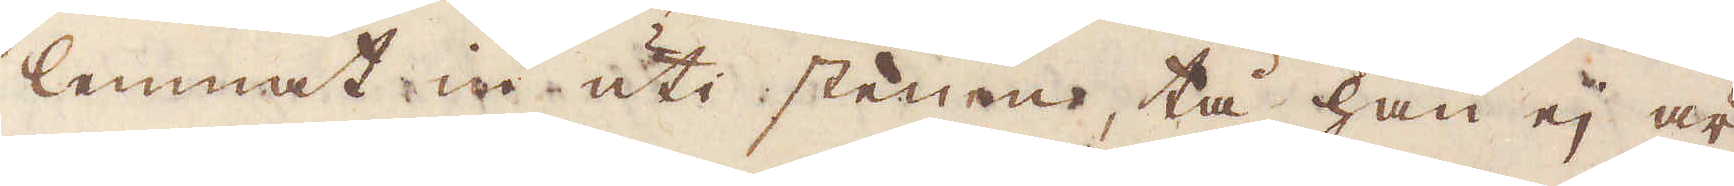lemnat in uti stenen, tå han ej är
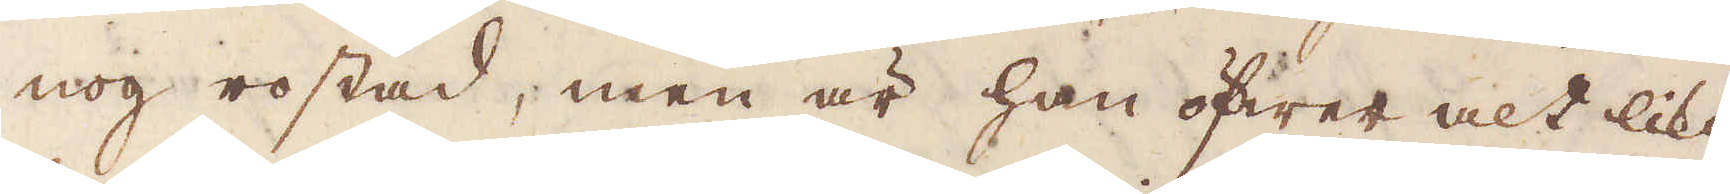nog rostad, men är han öfwer alt lika
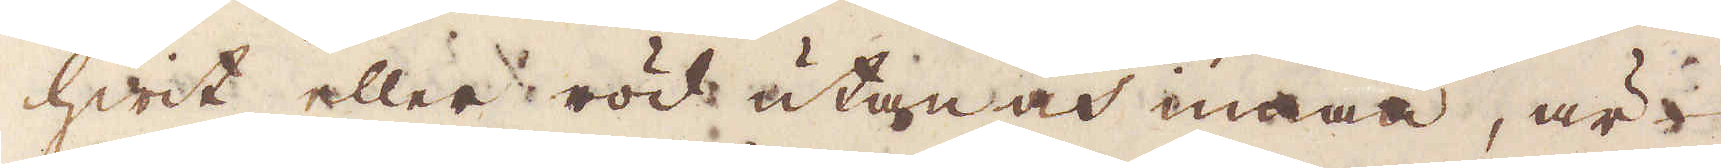hwit eller röd utan och innan, är
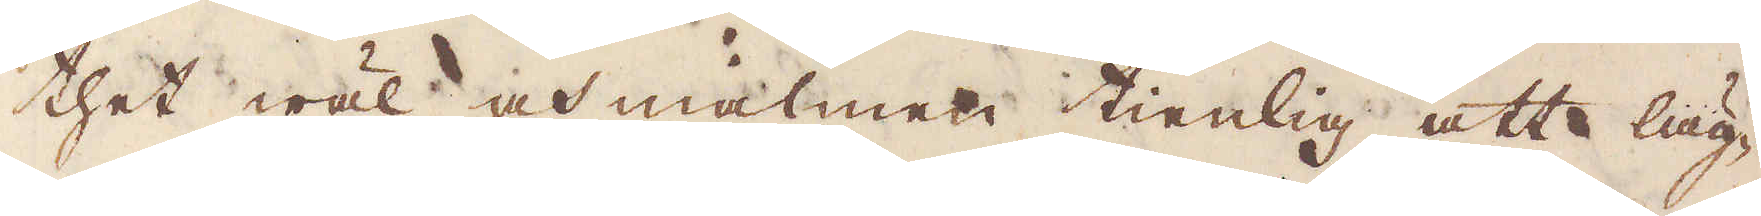thet wäl och malmen tienlig att läg-
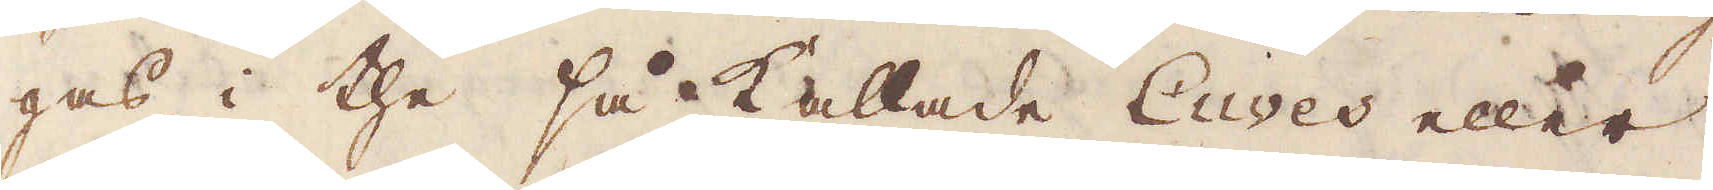gas i the så kallade Cuves eller
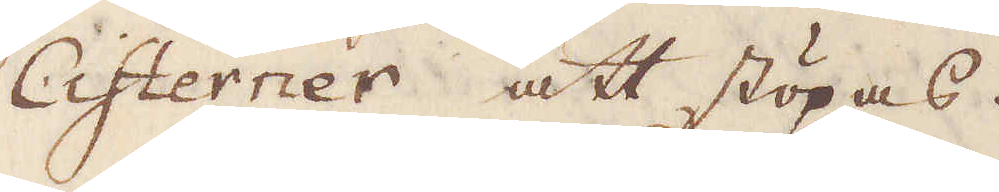Cisterner att stöpas.
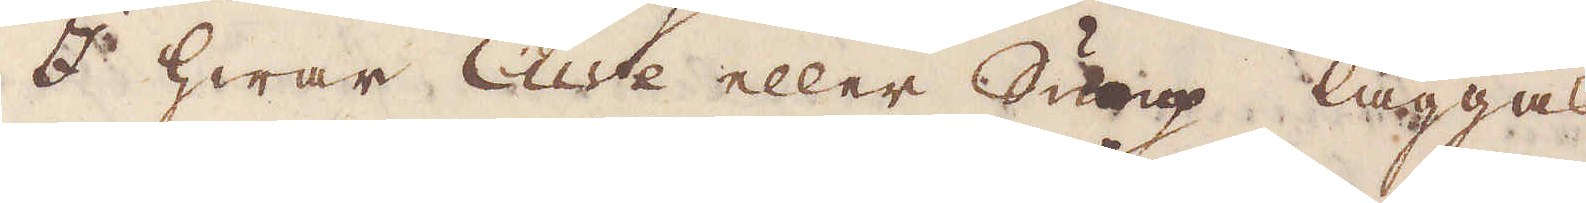I hwar Cuve eller Sump läggas
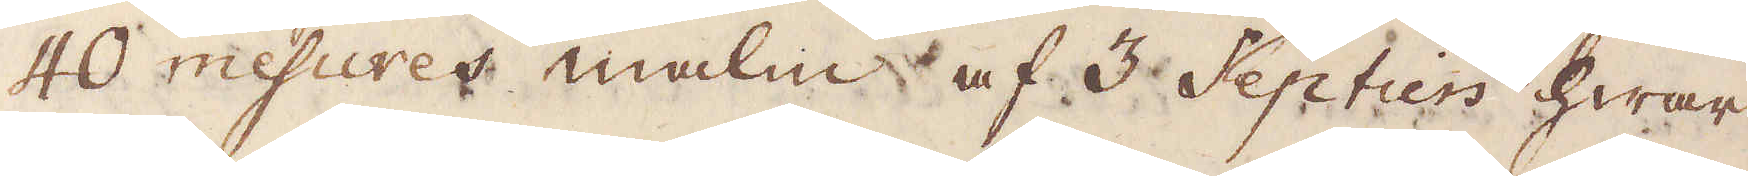40 mesures malm af 3 Septiers hwar
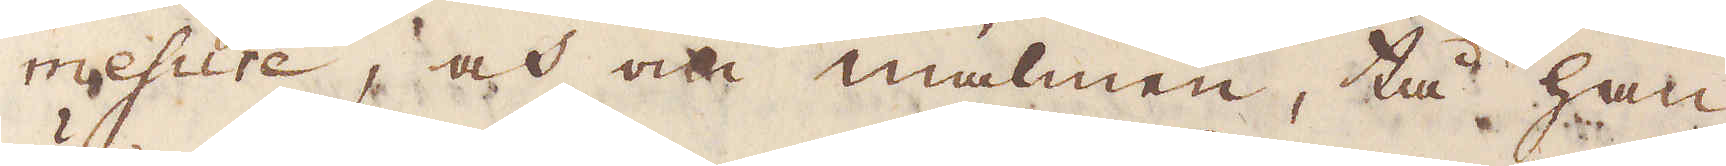mesure, och om malmen, tå han
